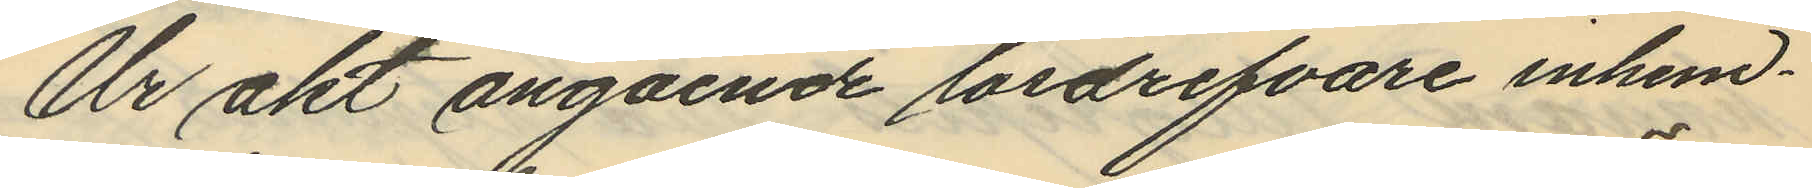Ur akt angående lösdrifvare inhem¬
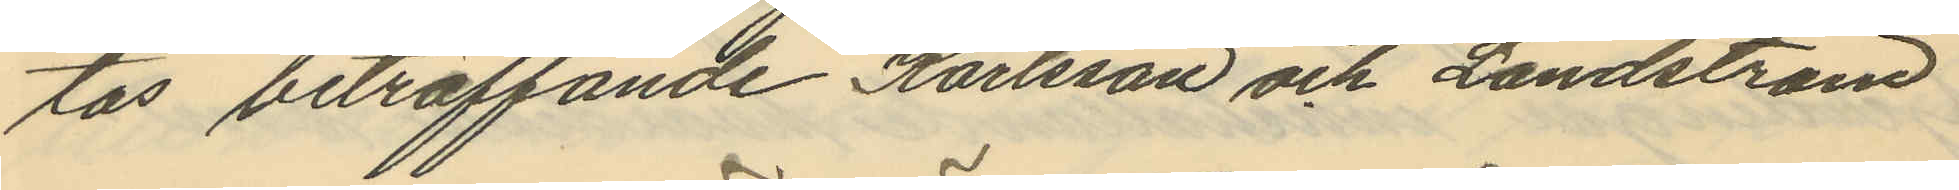tas beträffande Karlsson och Landström
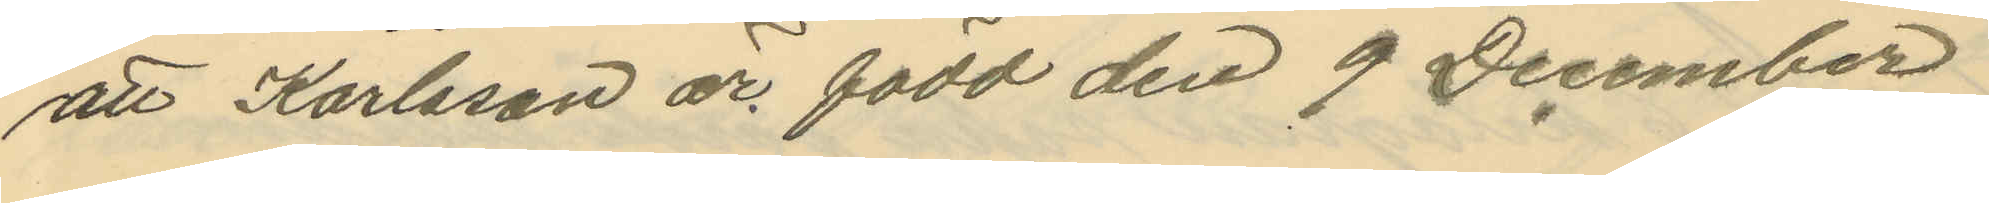att Karlsson är född den 9 December
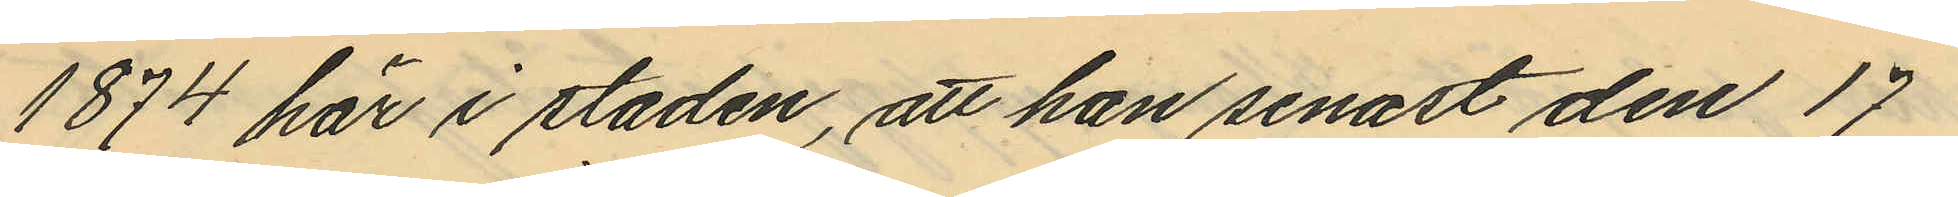1874 här i staden, att han senast den 17
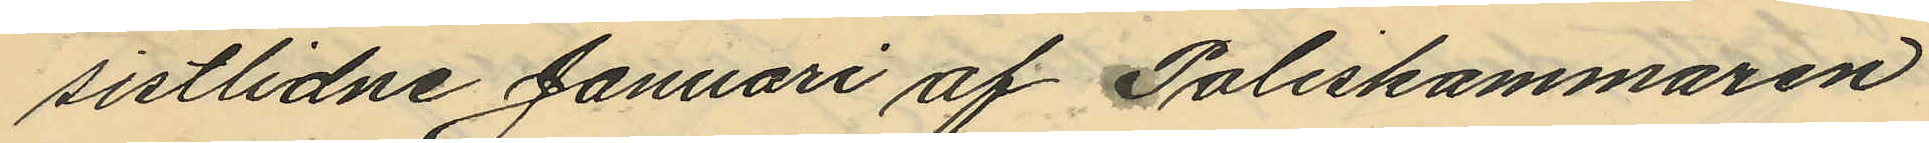sistlidne Januari af Poliskammaren
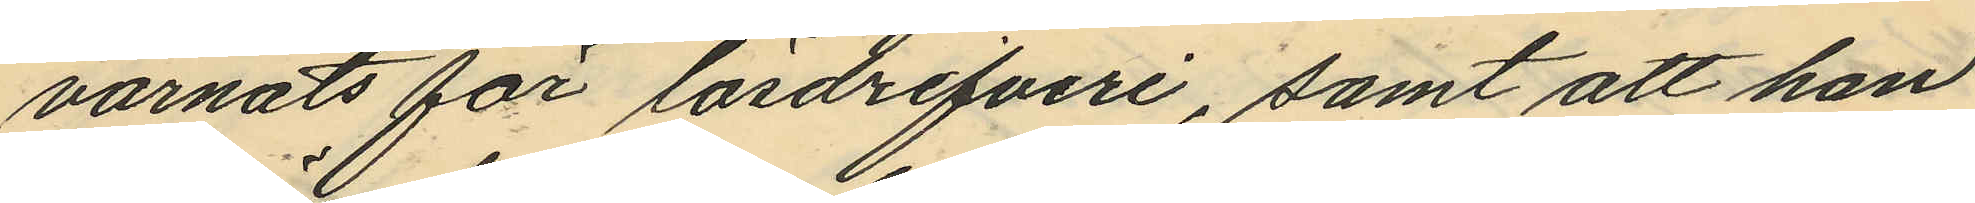varnats för lösdrifveri, samt att han
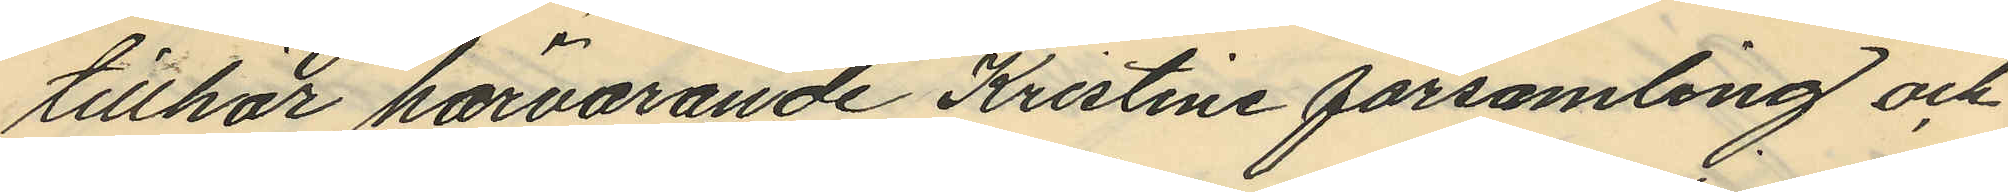tillhör härvarande Kristine församling och
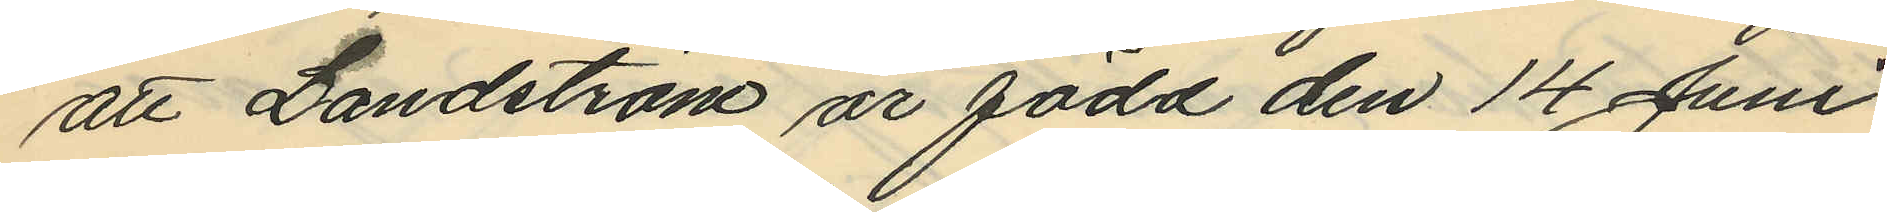att Landström är född den 14 Juni
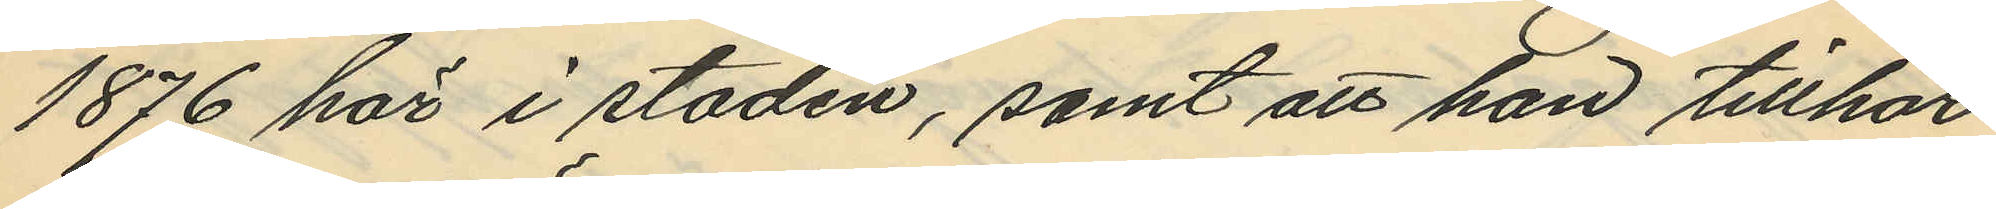1876 här i staden, samt att han tillhör
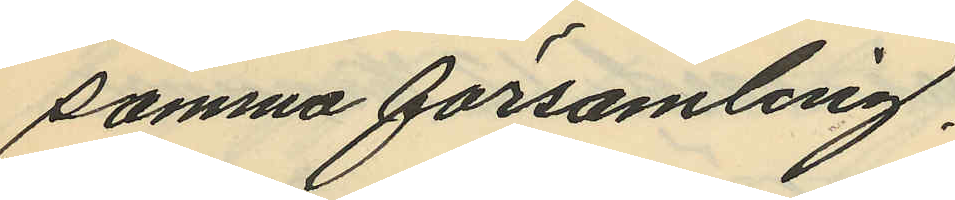samma församling.
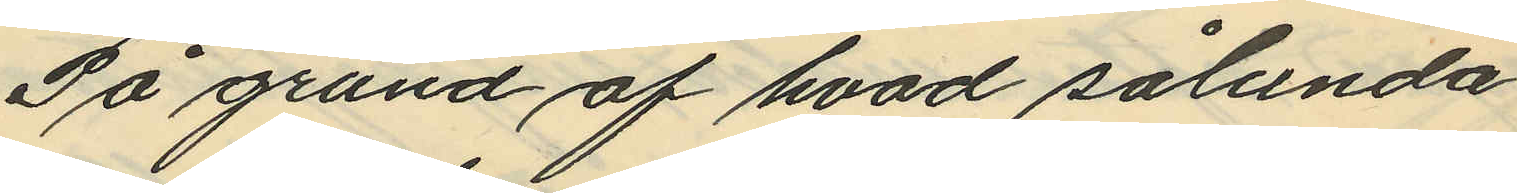På grund af hvad sålunda
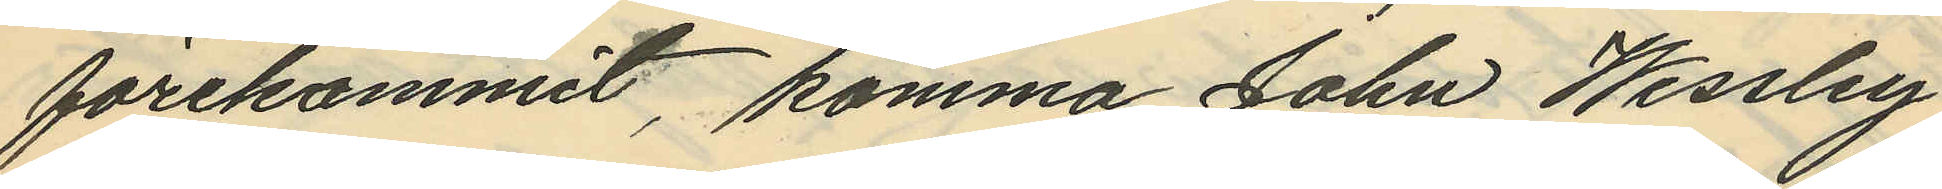förekommit, komma John Wessley
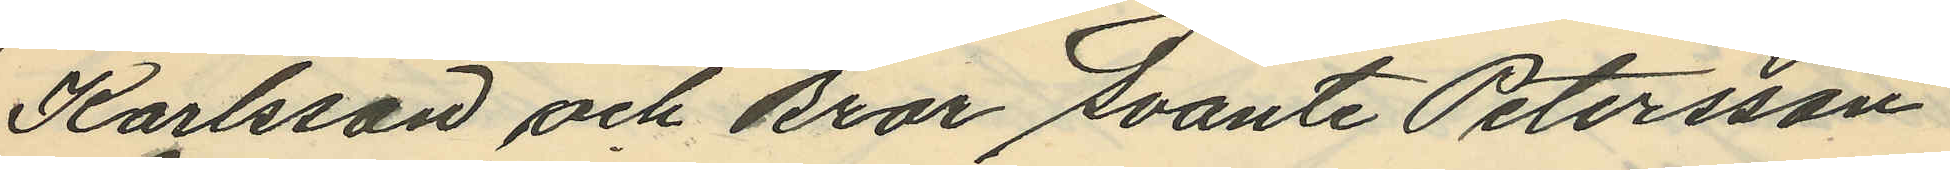Karlsson och bror Svante Petersson
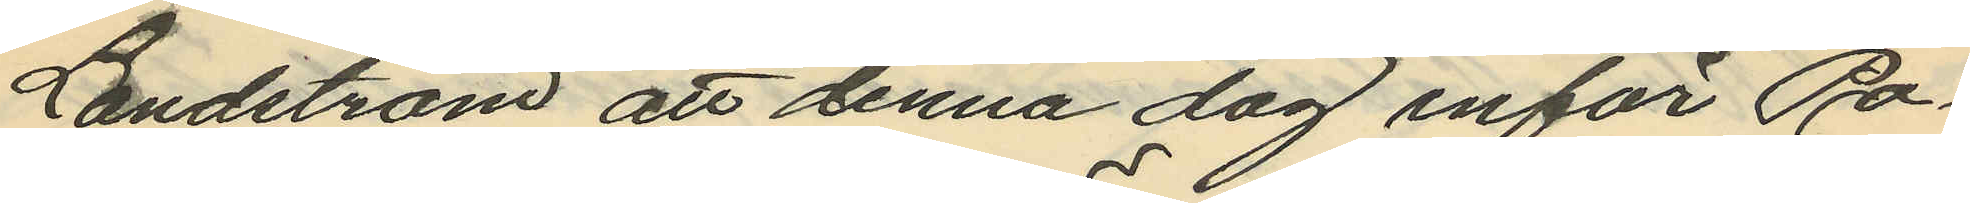Landström att denna dag inför Po¬
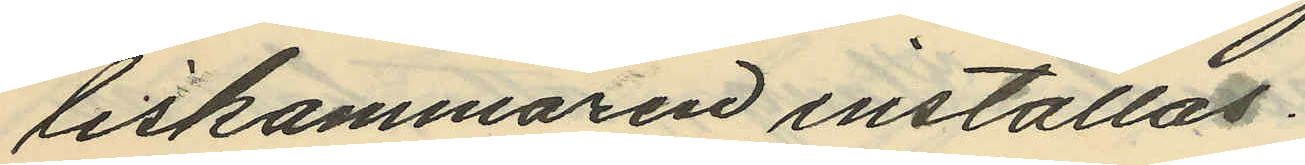liskammaren inställas.
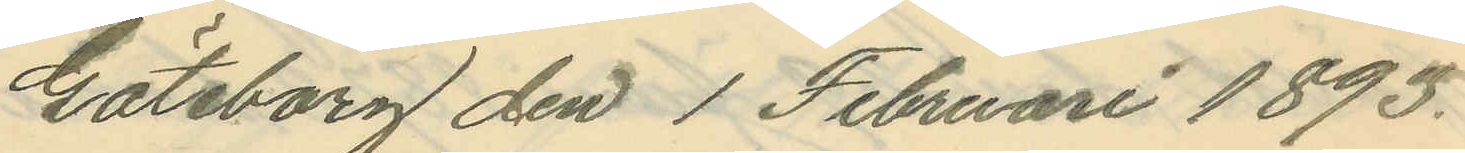Göteborg den 1 Februari 1893.
